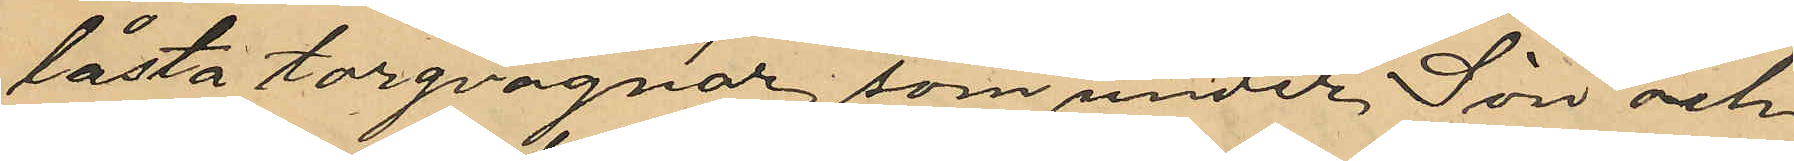låsta torgvagnar, som under Sön och
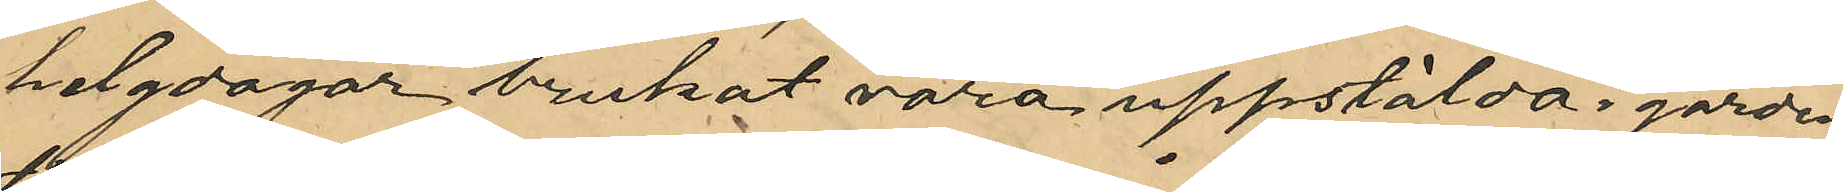helgdagar brukat vara uppstälda i gården
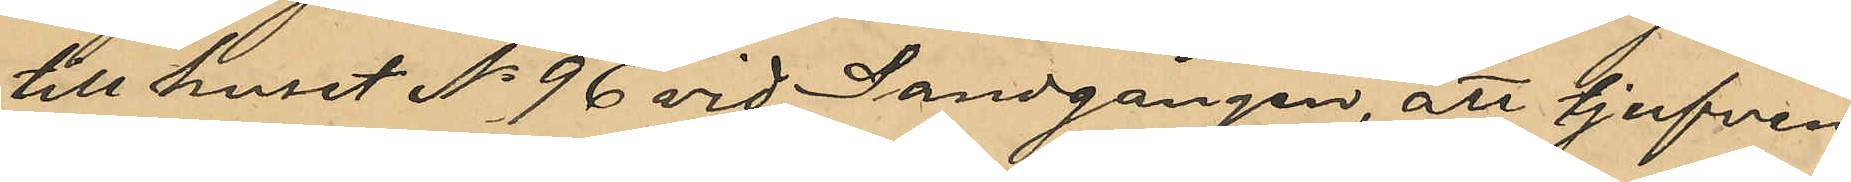till huset No 96 vid Sandgången, att tjufven
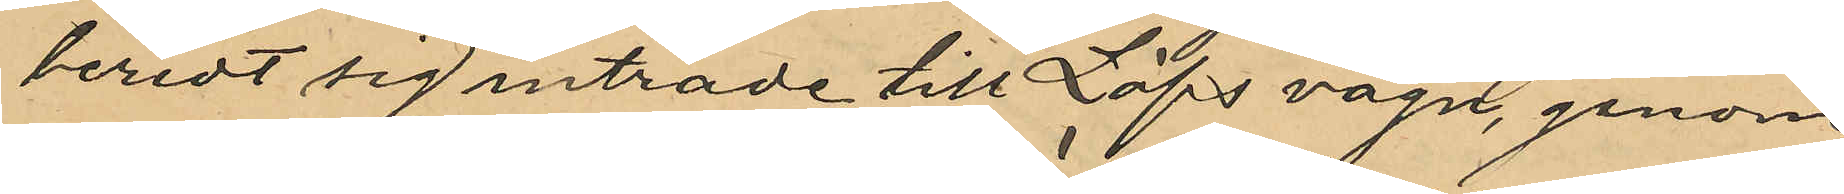beredt sig inträde till Löfs vagn, genom
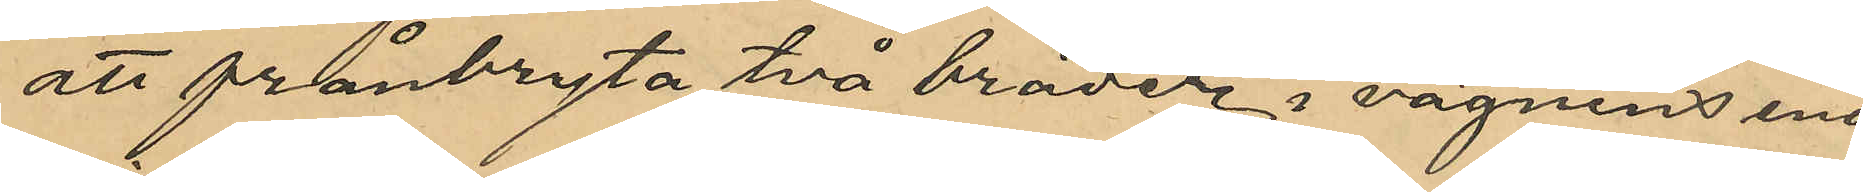att frånbryta två bräder i vagnens ena
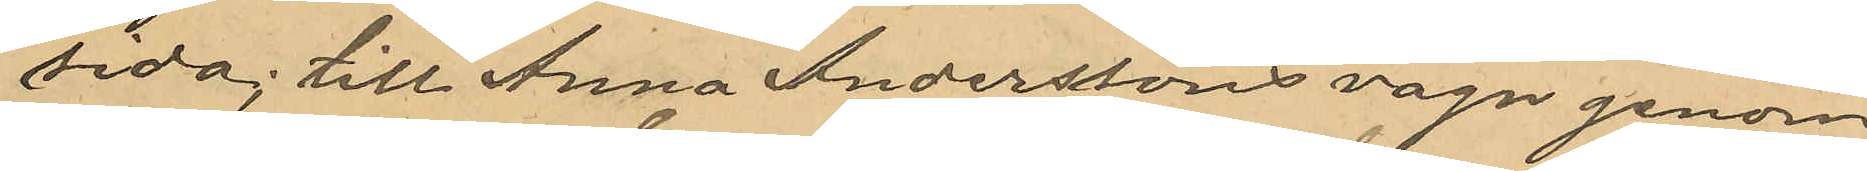sida; till Anna Anderssons vagn genom
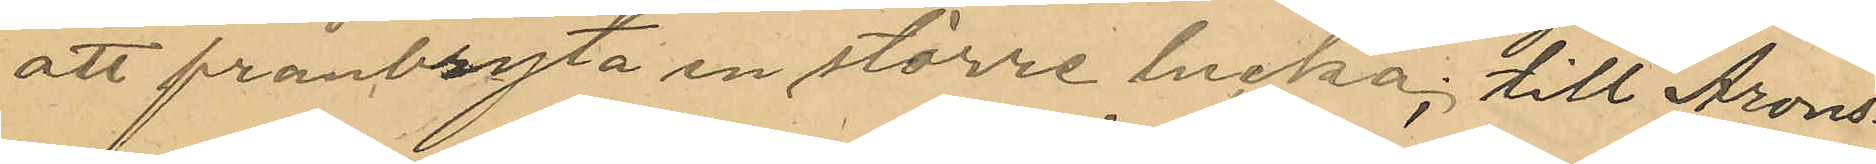att frånbryta en större lucka; till Arons¬
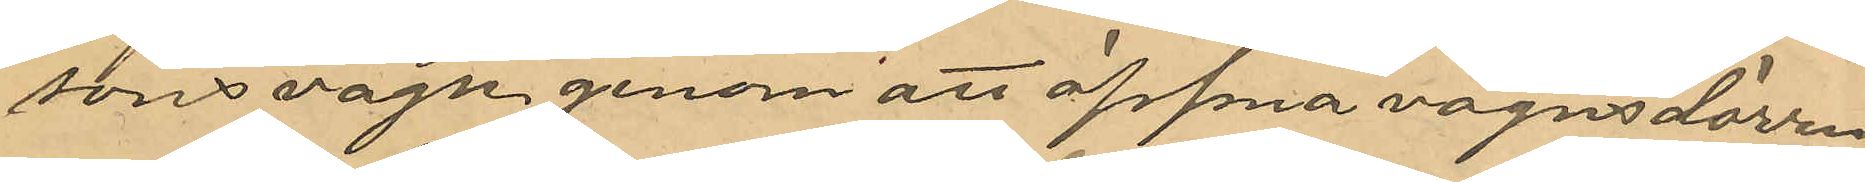sons vagn genom att öppna vagnsdörren
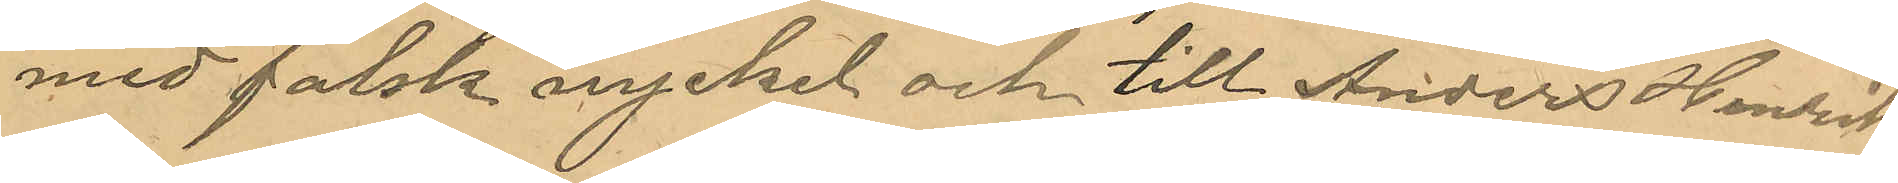med falsk nyckel och till Anders Henrik
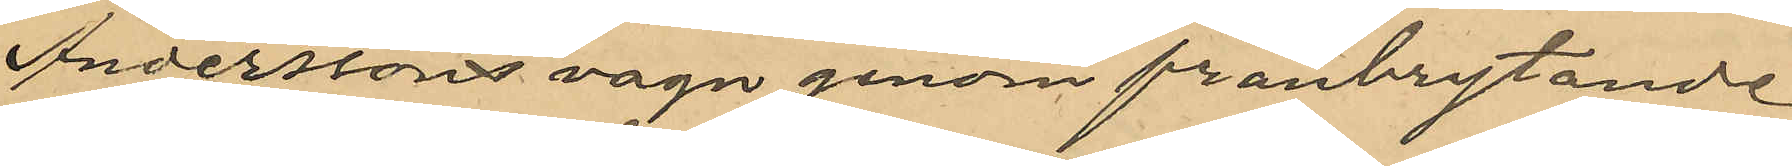Anderssons vagn genom frånbrytande
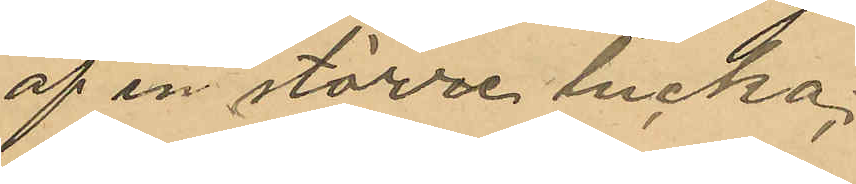af en större lucka;
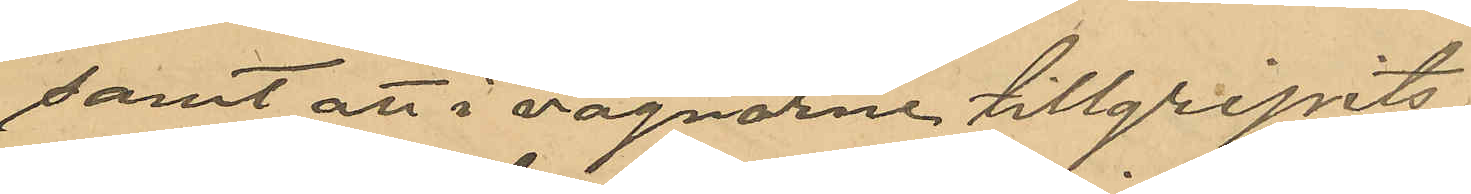samt att i vagnarna tillgripits:
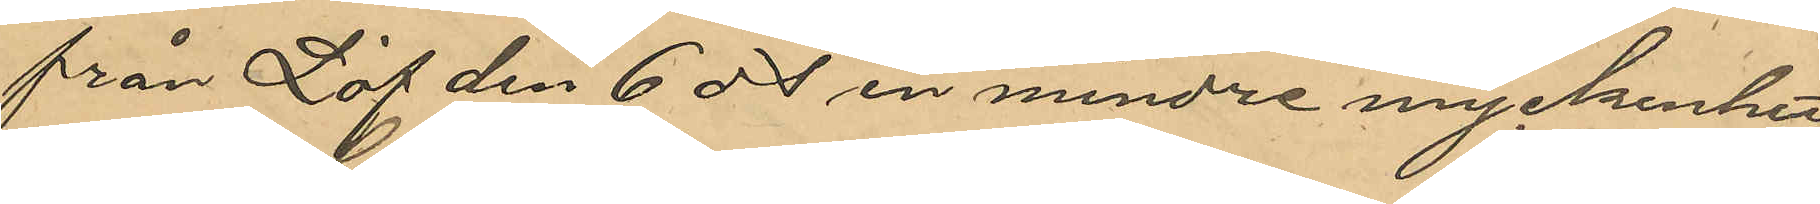från Löf den 6 ds en mindre myckenhet
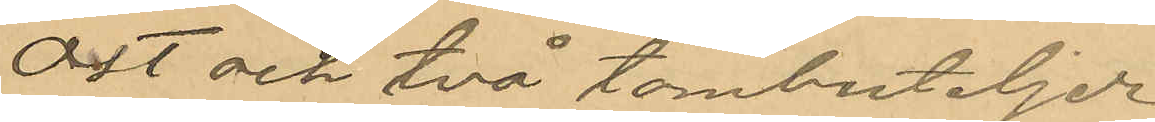ost och två tombuteljer
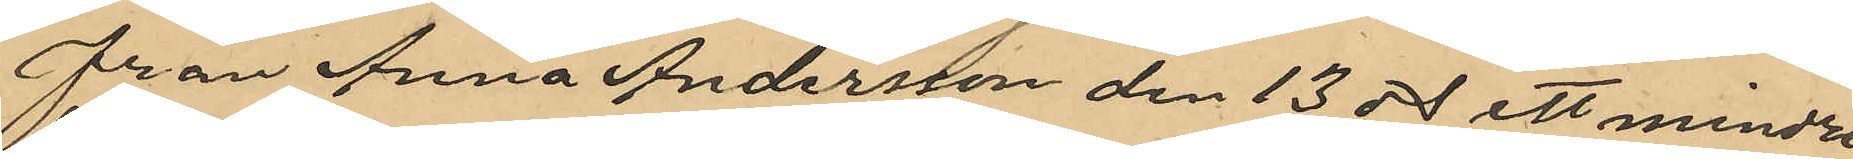från Anna Andersson den 13 ds ett mindre
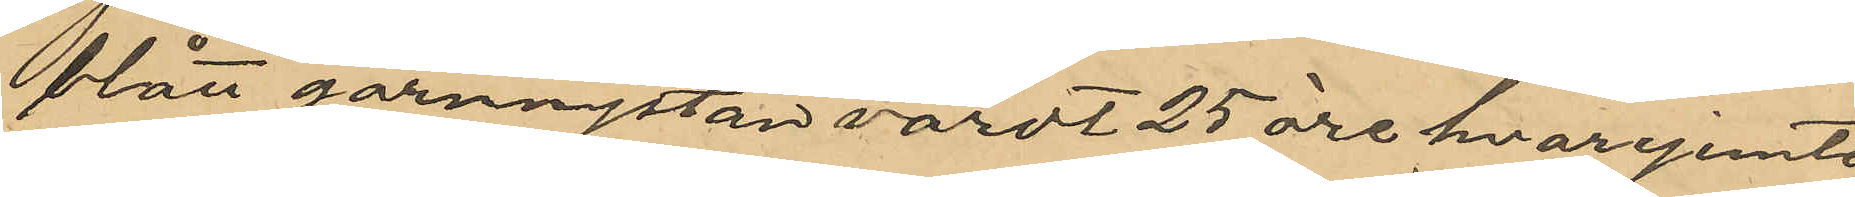blått garnnystan värdt 25 öre hvarjemte
